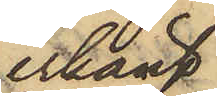erkänt
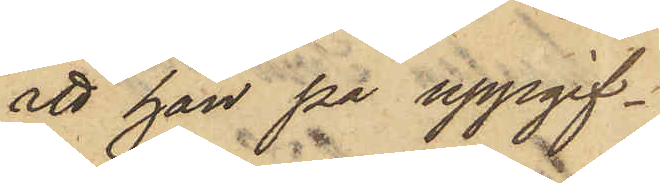att han på uppgif¬
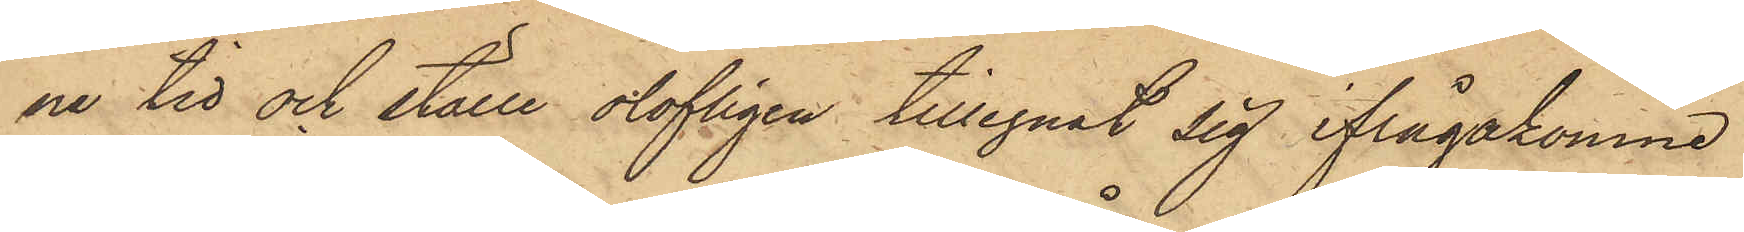ne tid och ställe olofligen tillegnat sig ifrågakomne
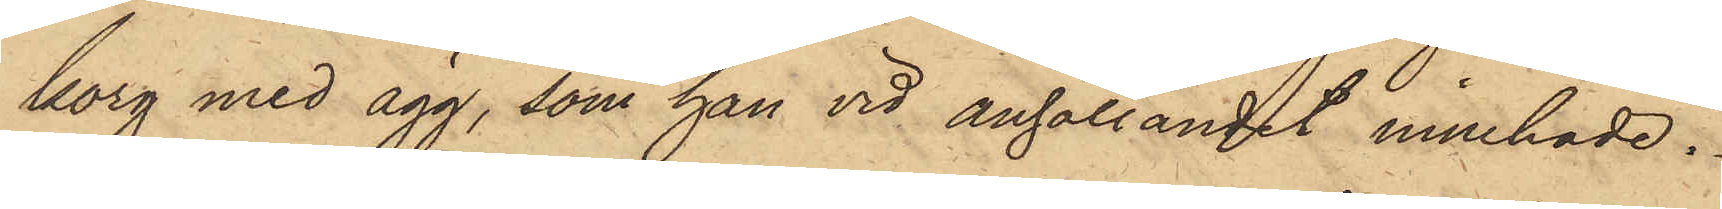korg med ägg, som han vid anhållandet innehade.
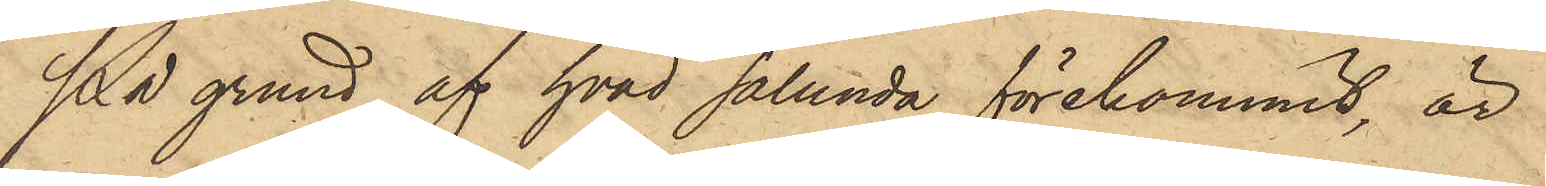På grund af hvad sålunda förekommit, är
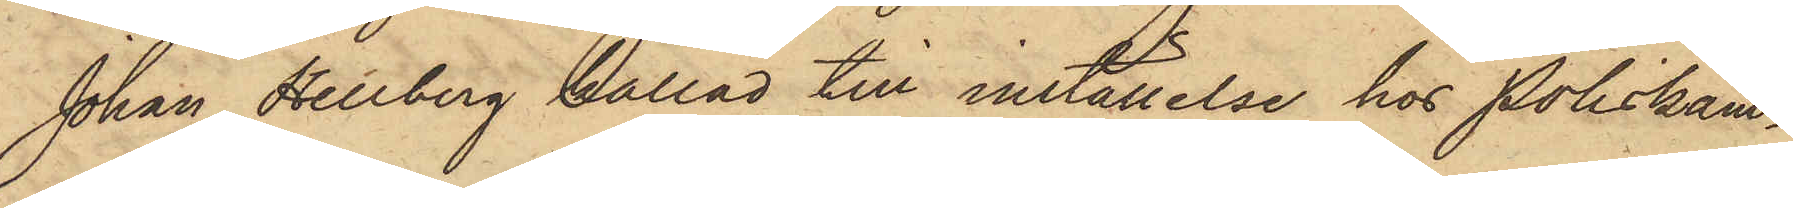Johan Hellberg kallad till inställelse hos Poliskam¬
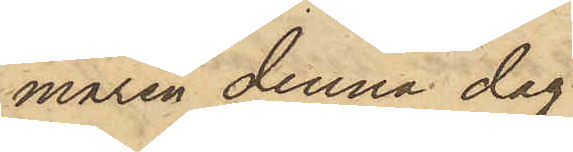maren denna dag.
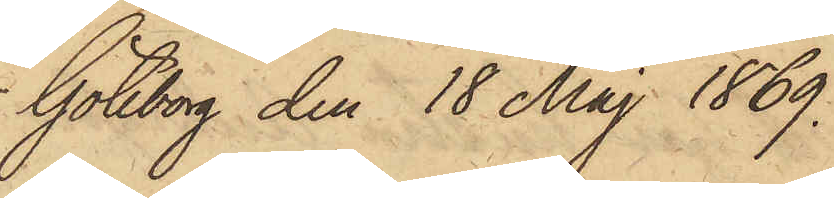Göteborg den 18 Maj 1869.
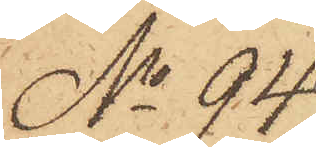No 94.
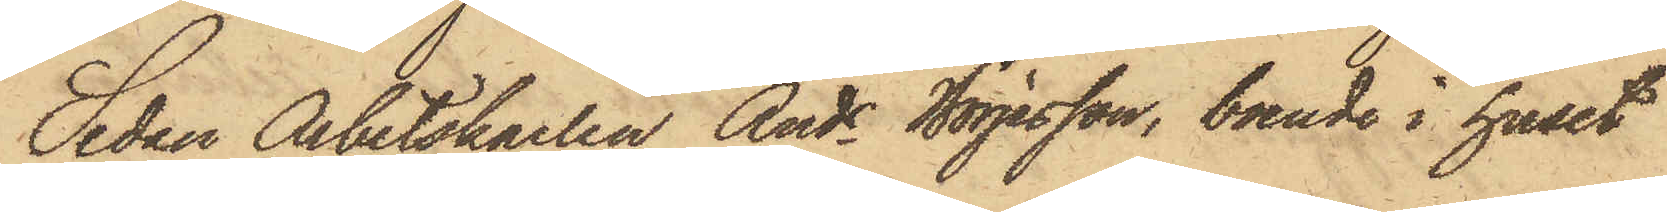Sedan Arbetskarlen Ands Börjesson, boende i huset
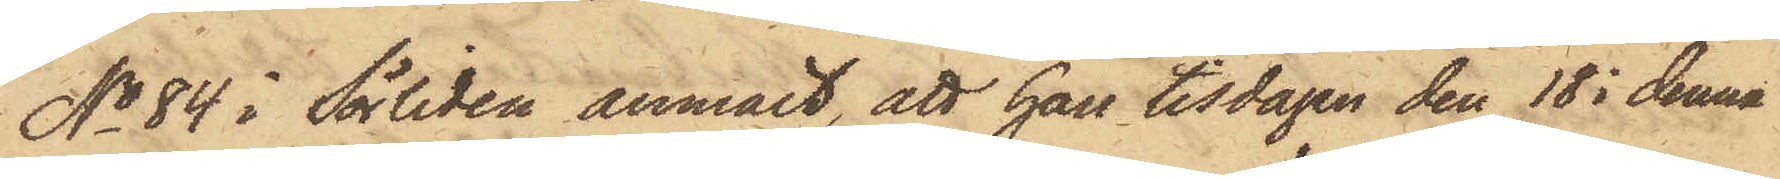No 84 i Sörliden anmält, att han tisdagen den 18 i denna
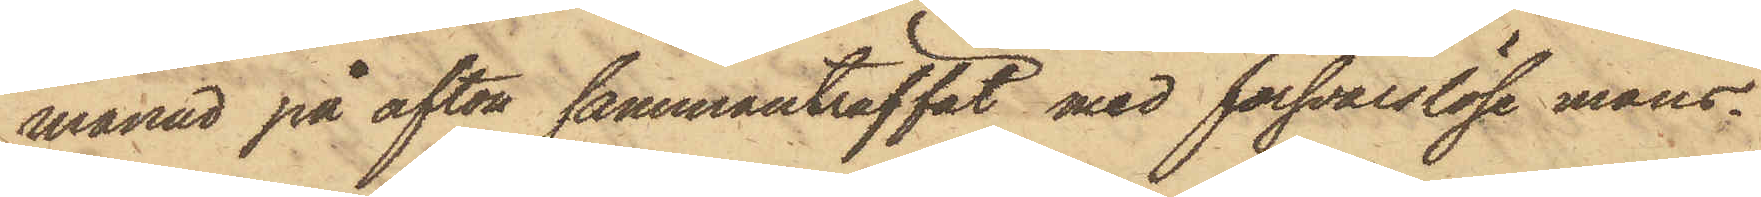månad på afton sammanträffat med försvarslöse mans¬
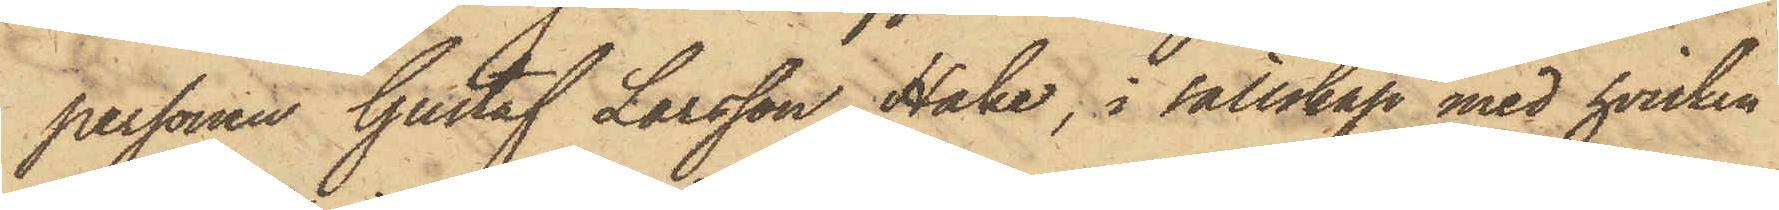personen Gustaf Larsson Hake, i sällskap med hvilken
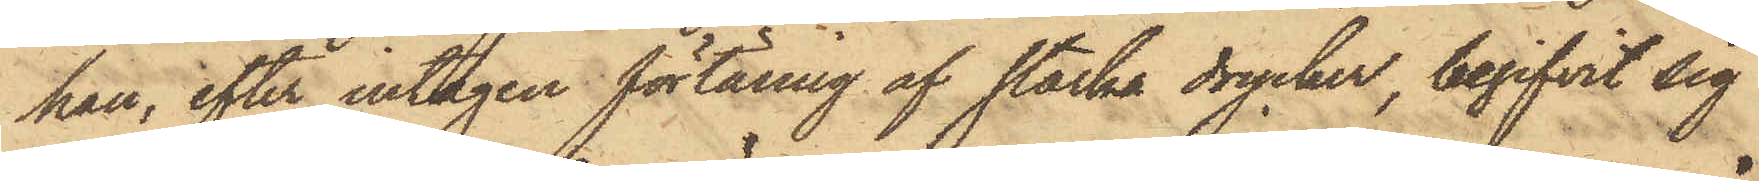han, efter intagen förtäring af starcka drycker, begifvit sig
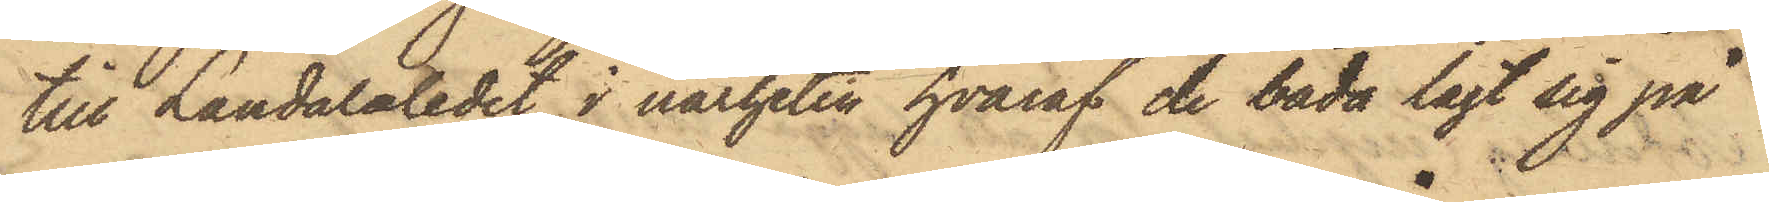till Landalaledet, i närheten hvaraf de båda lagt sig på
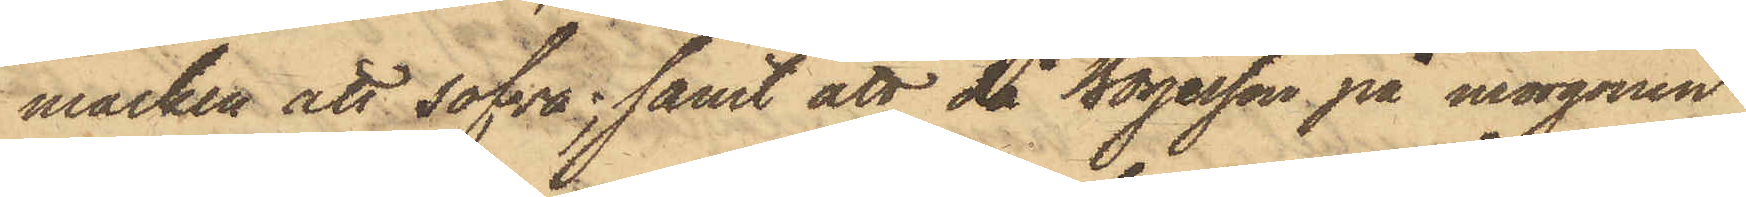marken att sofva; samt att då Börjesson på morgonen
